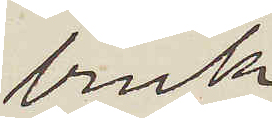bruk.
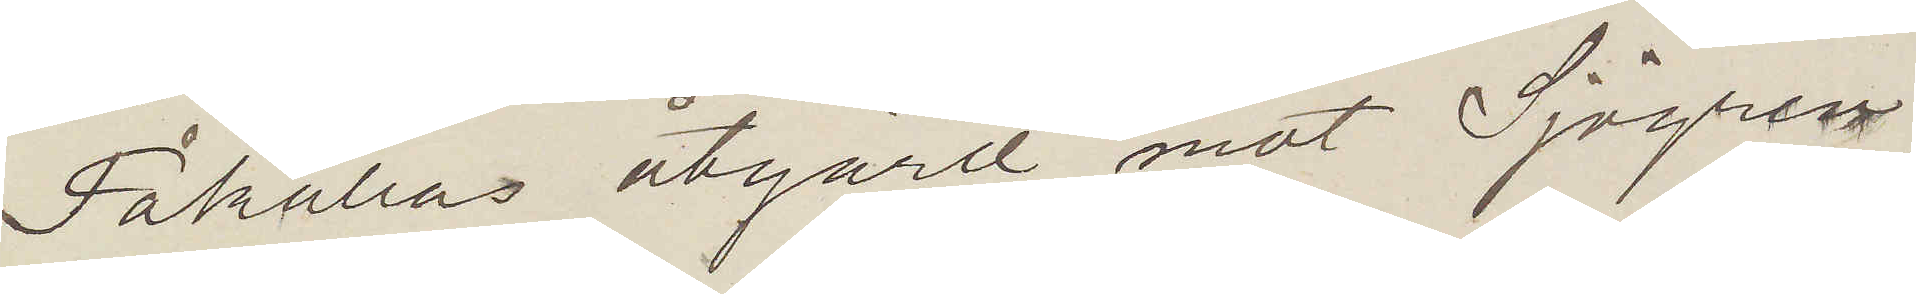Påkallas åtgärd mot Sjögren
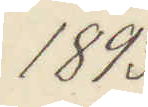1893
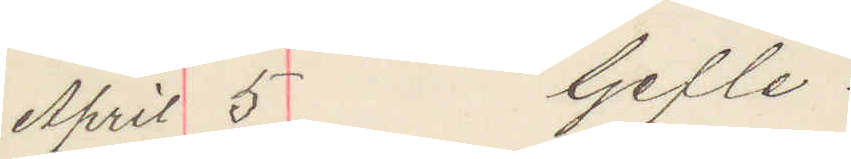April 5 Gefle.
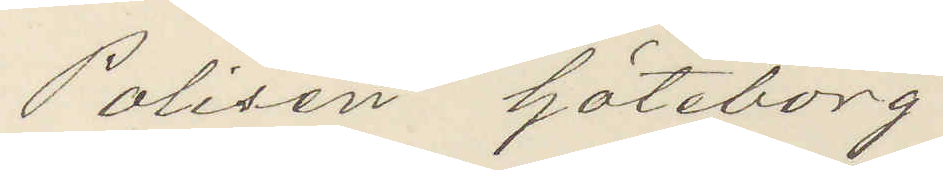Polisen Göteborg.
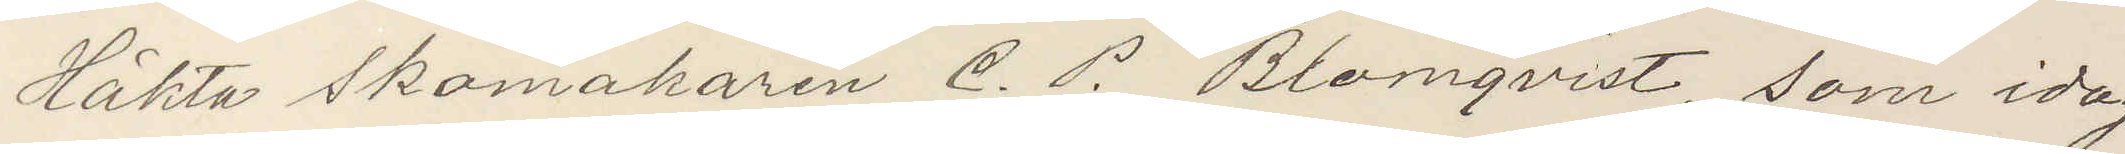Häkta Skomakaren C. P. Blomqvist, som idag
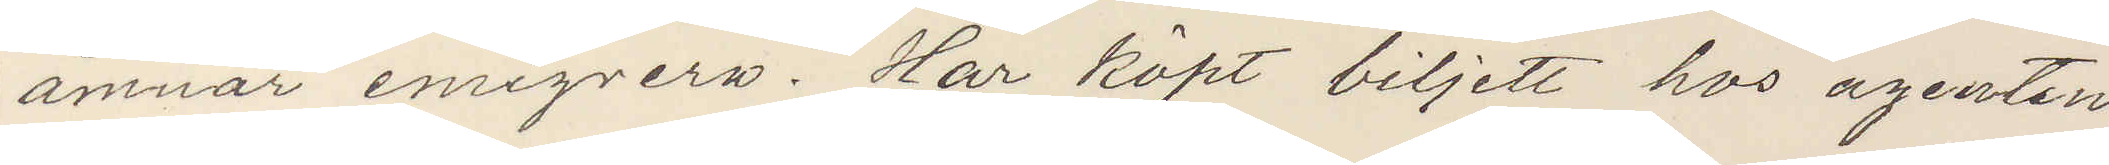ämnar emigrera. Har köpt biljett hos agenten
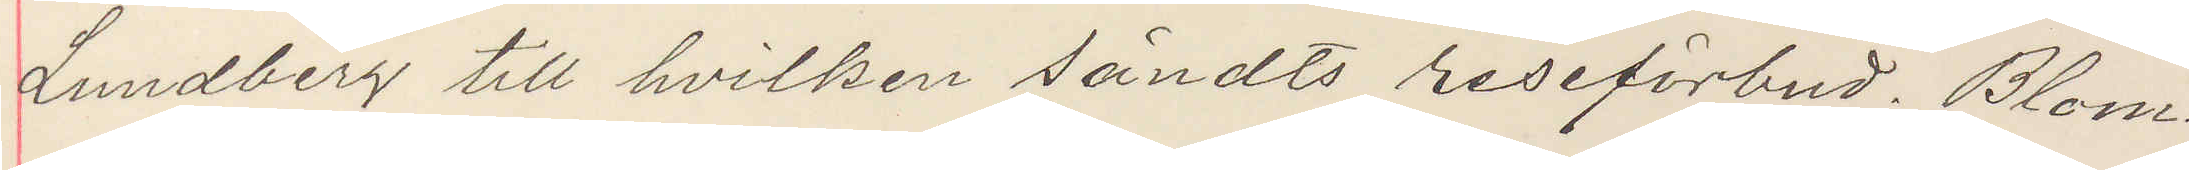Lundberg till hvilken sändts reseförbud. Blom¬
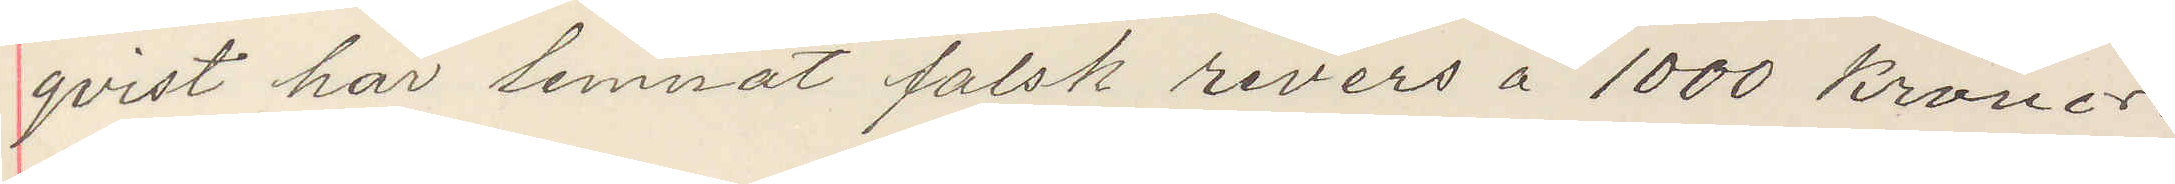qvist här lemnat falsk revers å 1000 Kronor.
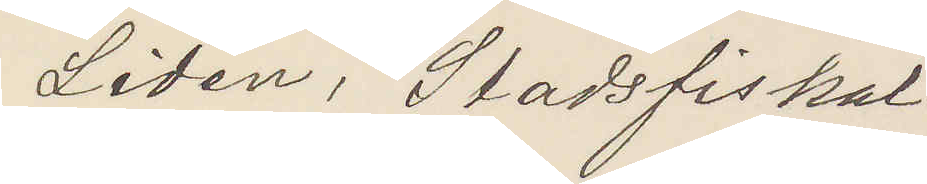Lidén, Stadsfiskal.
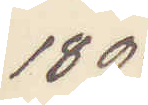1893
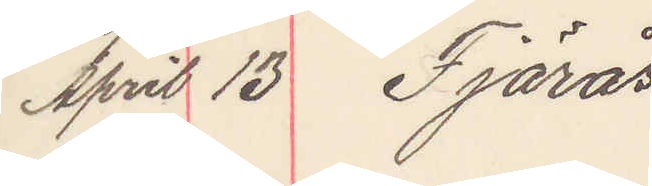April 13 Fjärås
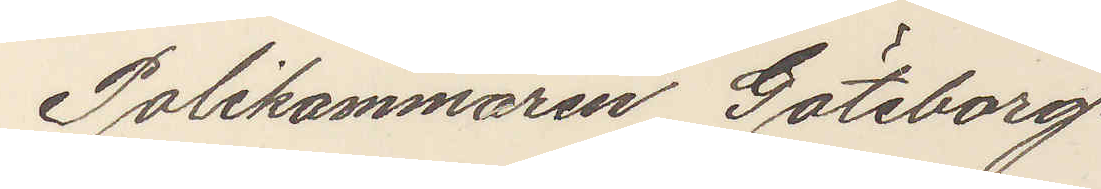Poliskammaren Göteborg.
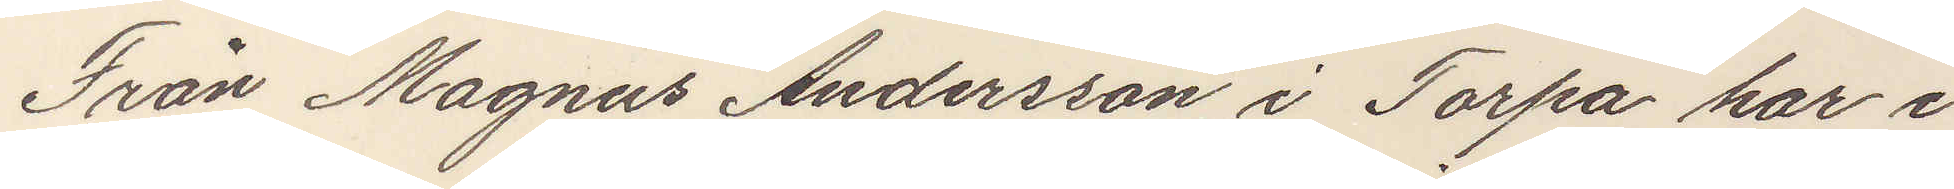Från Magnus Andersson i Torpa har i
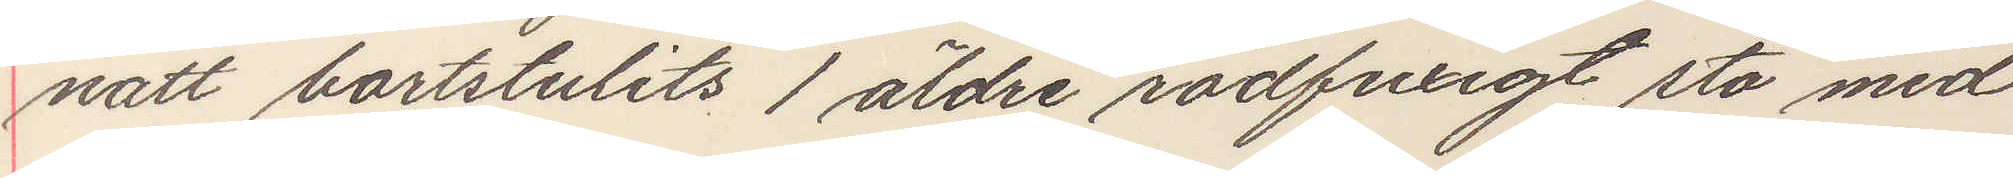natt bortstulits 1 äldre rödfuxigt sto med
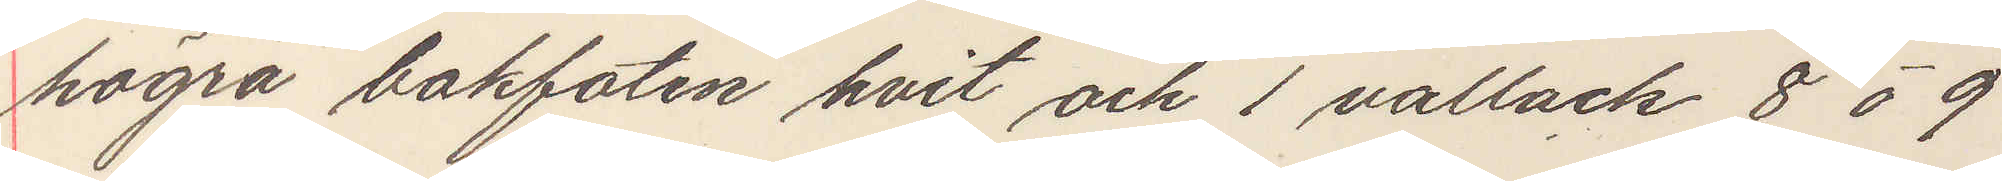högra bakfoten hvit och 1 vallack 8 à 9
